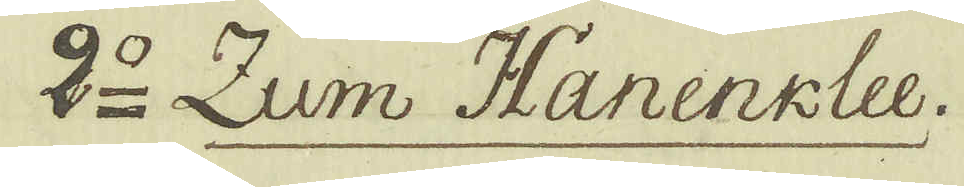2:o Zum Hanenklee.
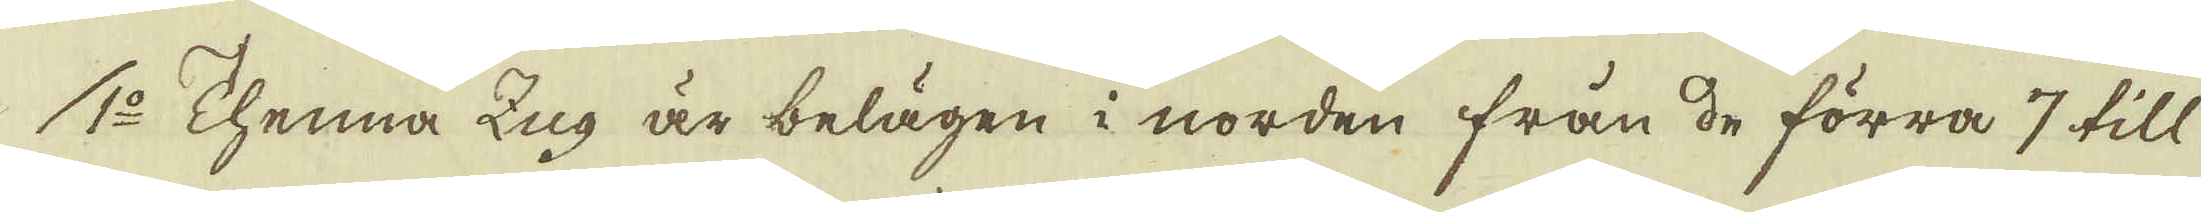1:o Thenna Zug är belägen i norden från de förra 7 till
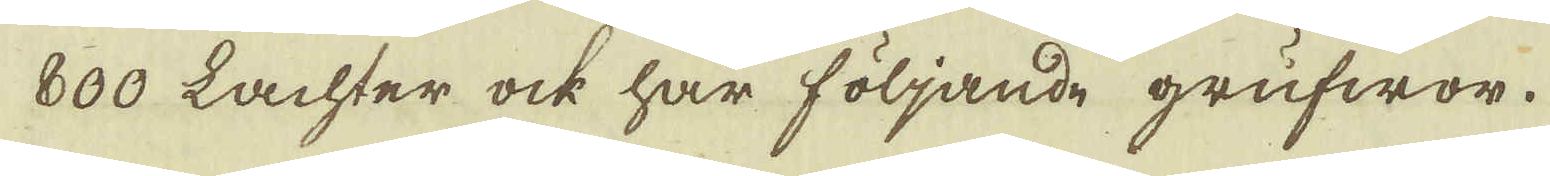800 Lachter ock har följande grufwor.
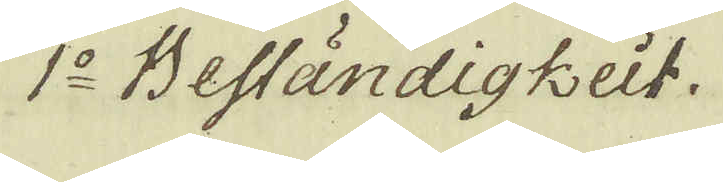1:o Beständigkeit.
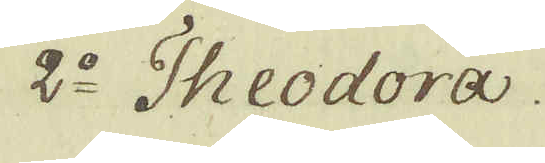2:o Theodora.
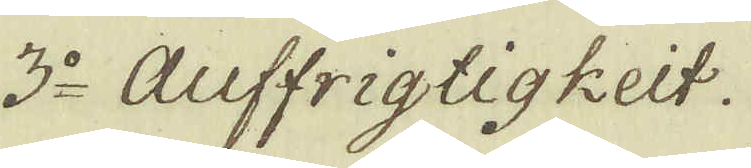3:o Auffrigtigkeit.
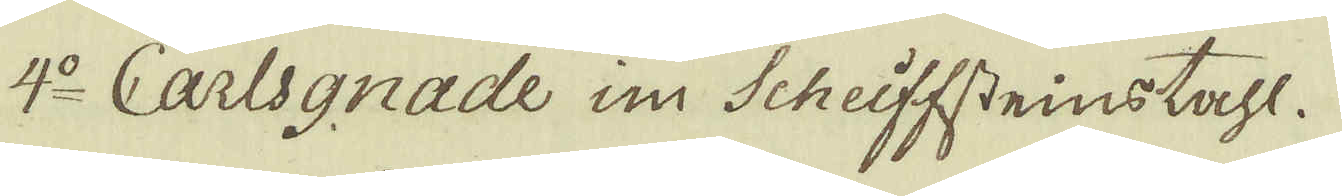4:o Carlsgnade in Scheiffsteinstahl.
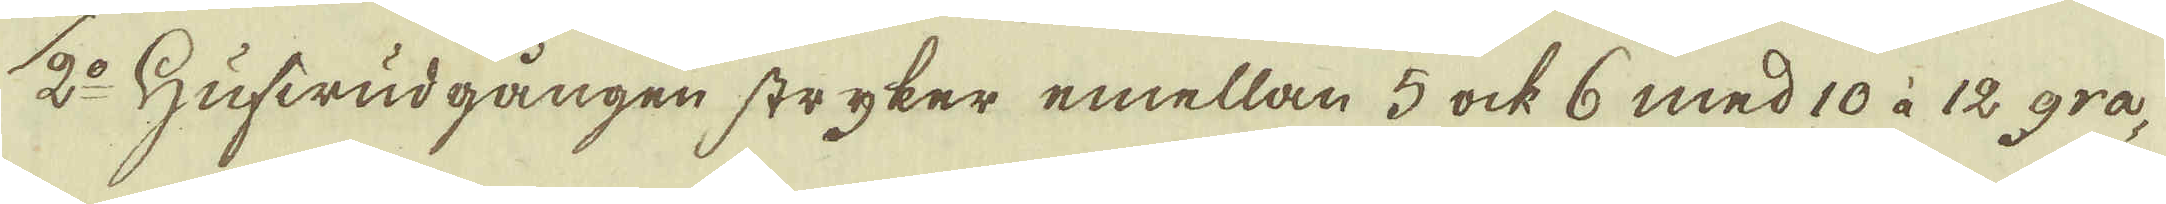2:o Hufwudgången stryker emellan 5 ock 6 med 10 à 12 gra-
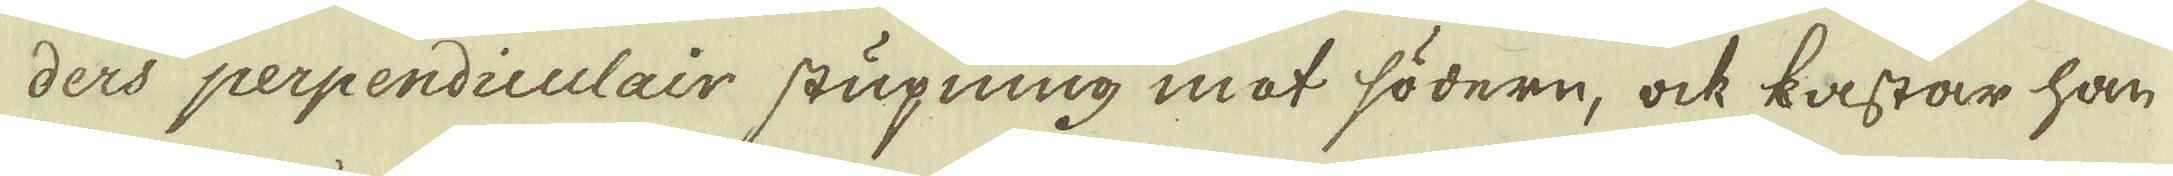ders perpendiculair stupning mot södern, ock kastar han
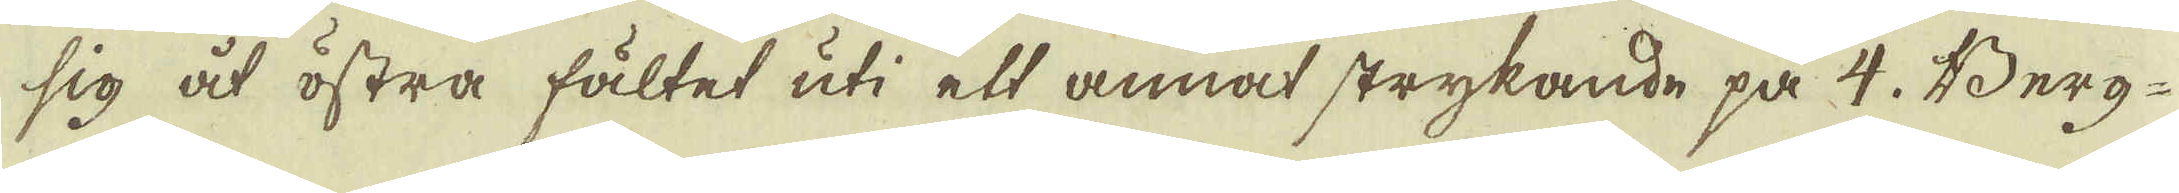sig åt östra fältet uti ett annat strykande på 4. Berg-
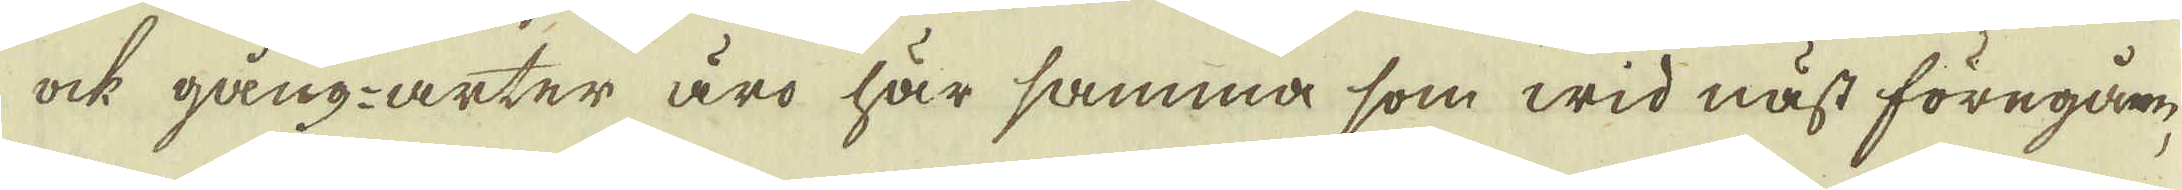ock gång-arter äro här samma som wid näst föregån-
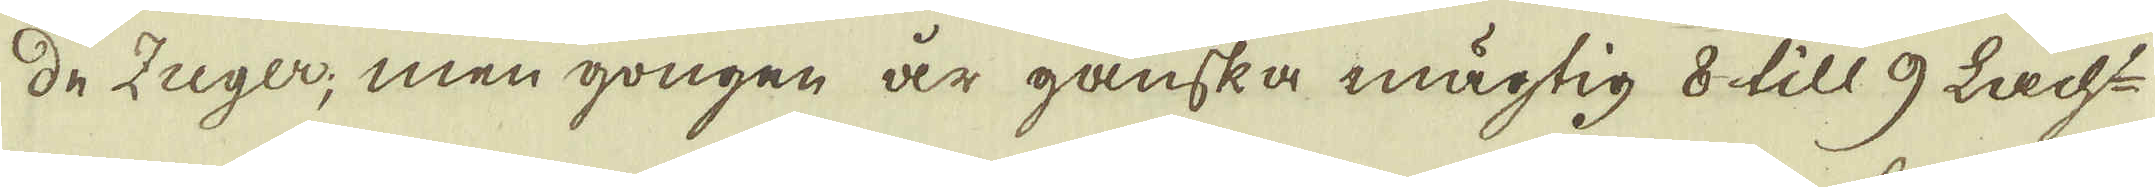de Zuger, men gongen är ganska mägtig 8 till 9 Lacht-
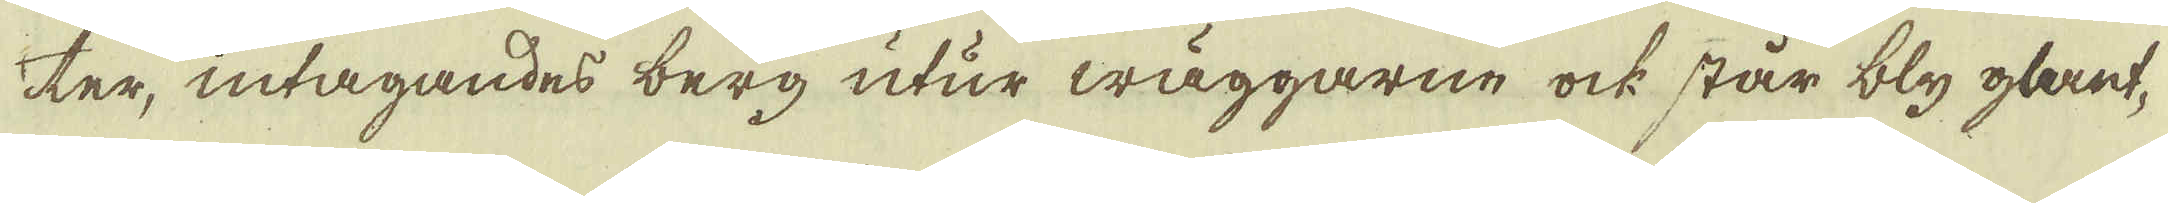ter, intagandes berg utur wäggarne ock står bly glant-
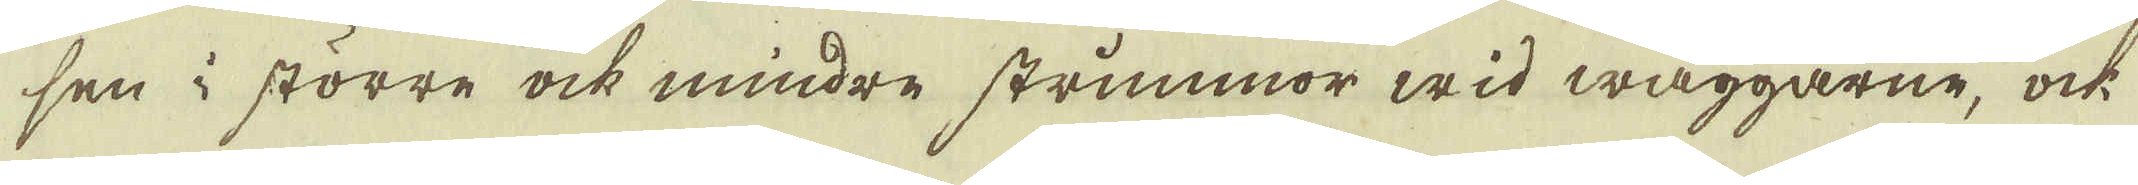sen i större ock mindre strimmor wid wäggarne, ock
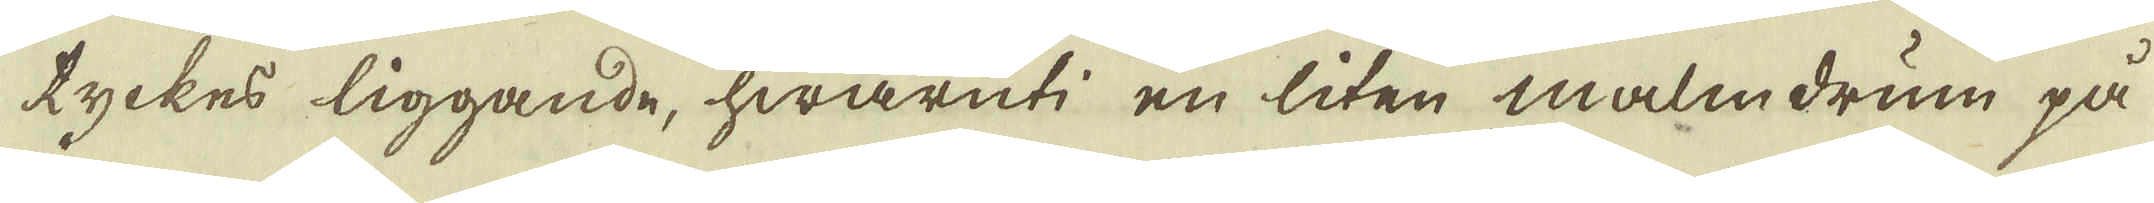tyckes liggande, hwaruti en liten malmdrum på
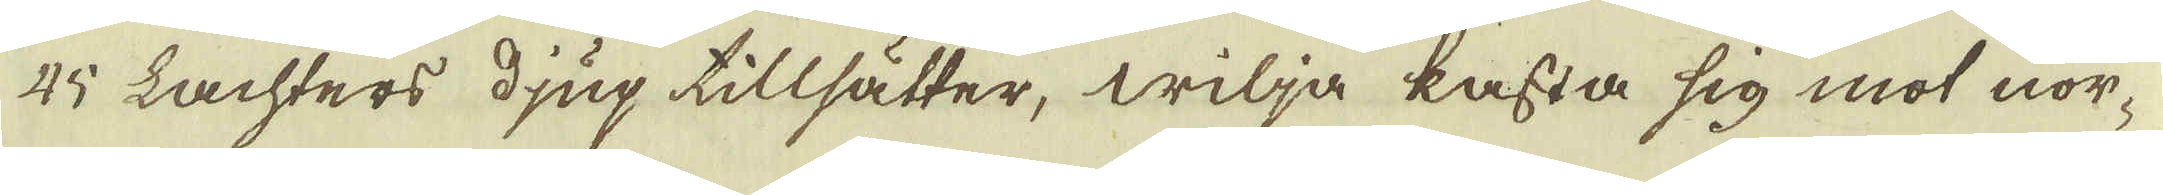45 Lachters djup tillsätter, wilja kasta sig mot nor-
